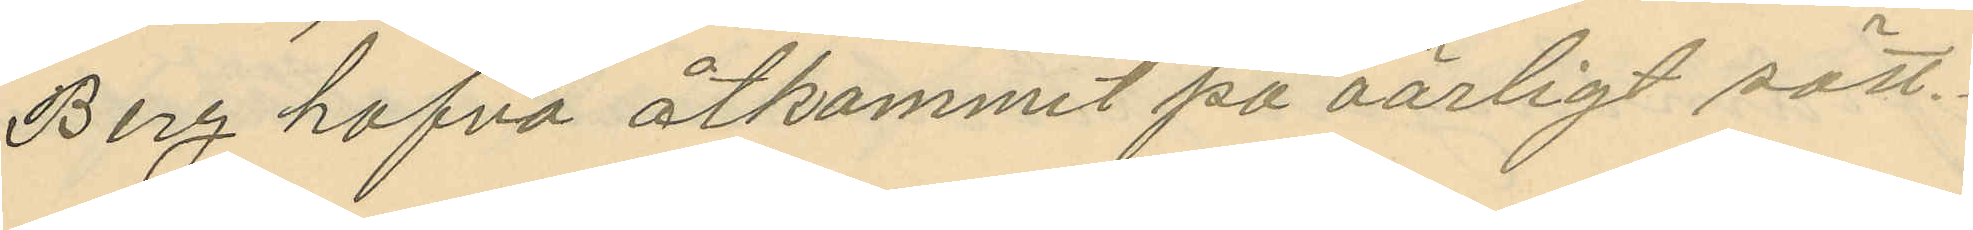Berg hafva åtkommit på oärligt sätt.
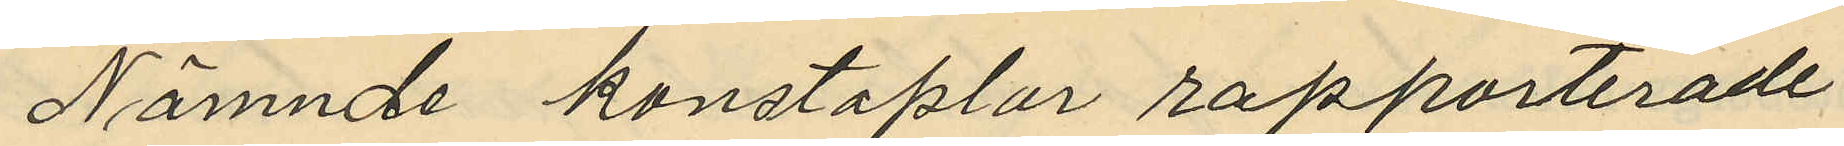Nämnde konstaplar rapporterade
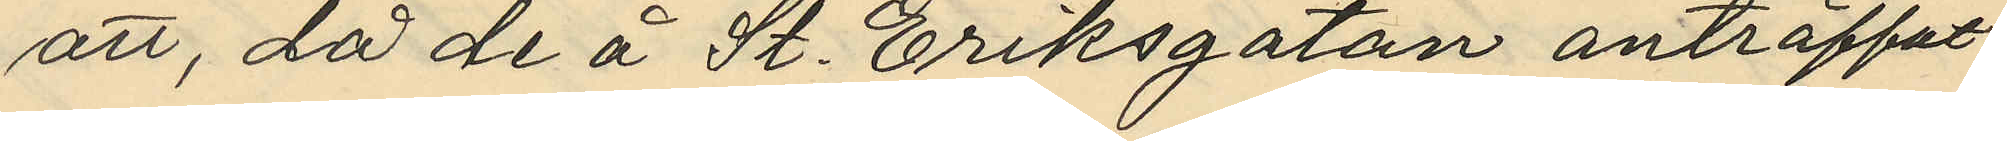att, då de å St. Eriksgatan anträffat
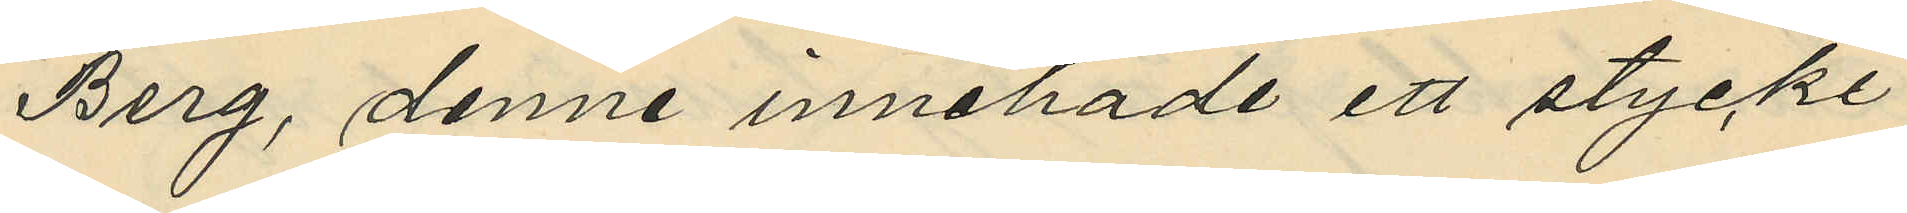Berg, denne innehade ett stycke
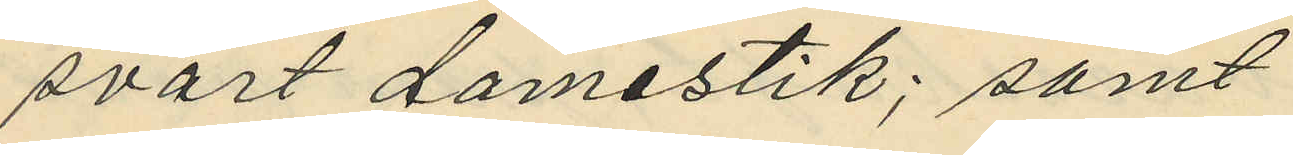svart damestik; samt
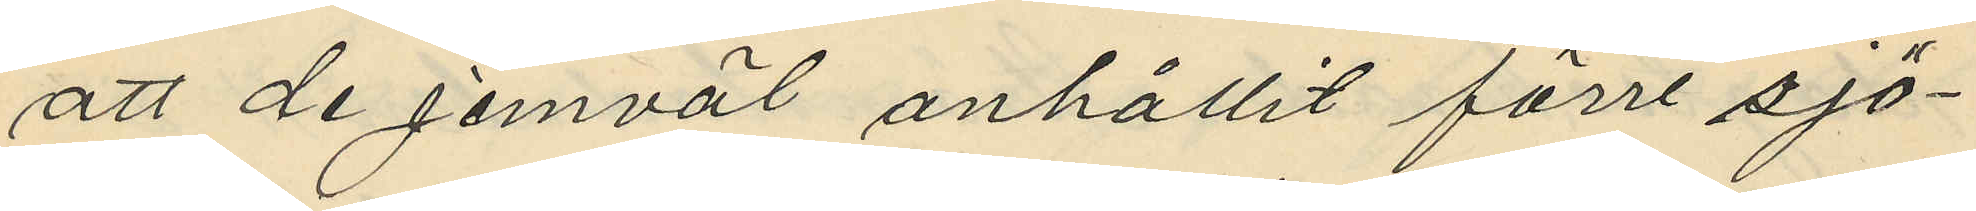att de jemväl anhållit förre sjö¬
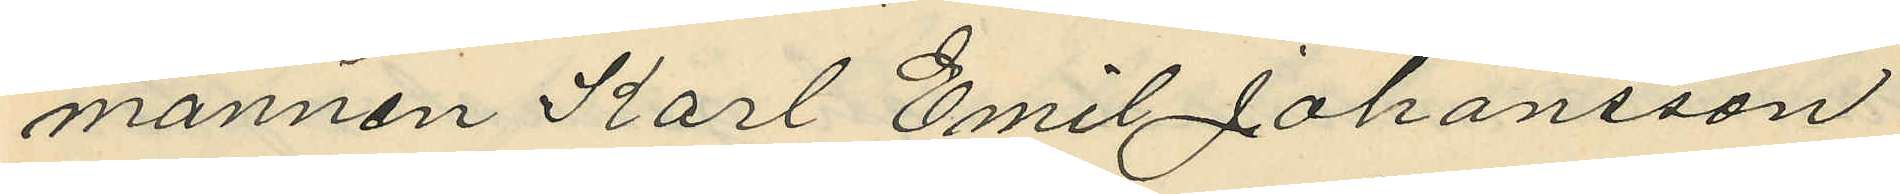mannen Karl Emil Johansson
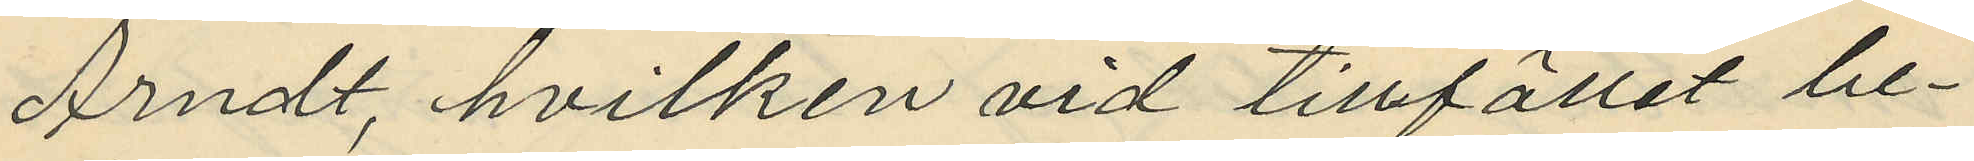Arndt, hvilken vid tillfället be¬
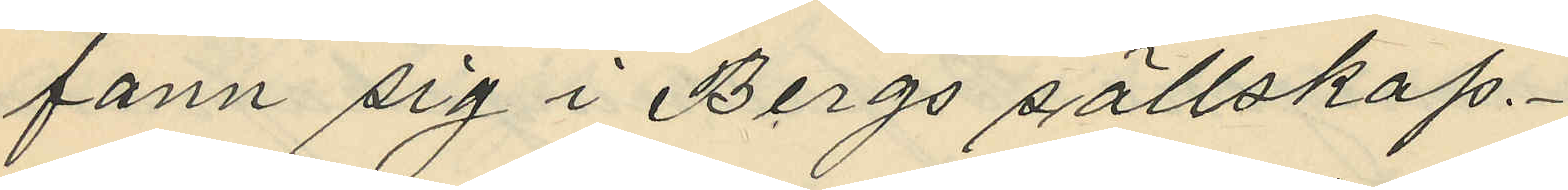fann sig i Bergs sällskap
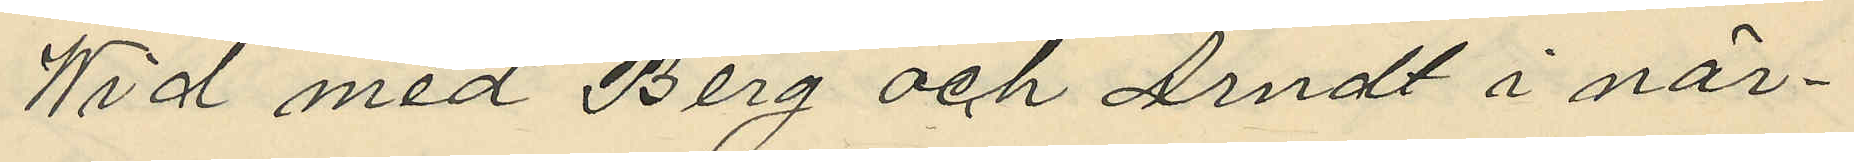Wid med Berg och Arndt i när¬
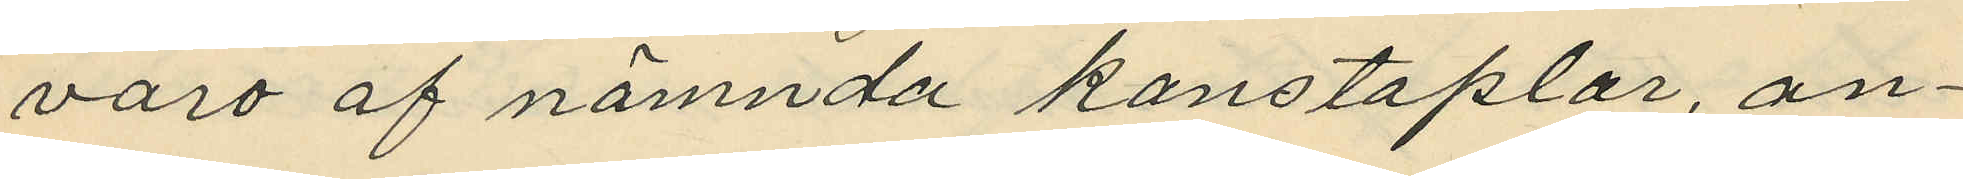varo af nämnda konstaplar, an¬
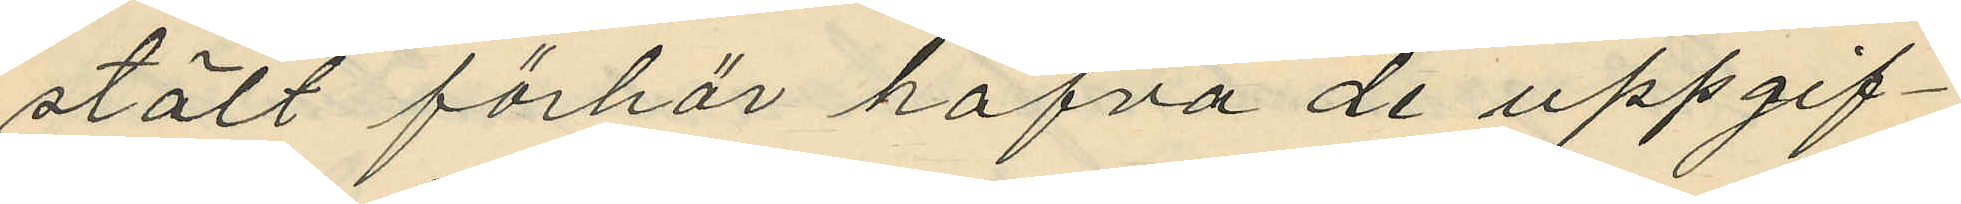stält förhör hafva de uppgif¬
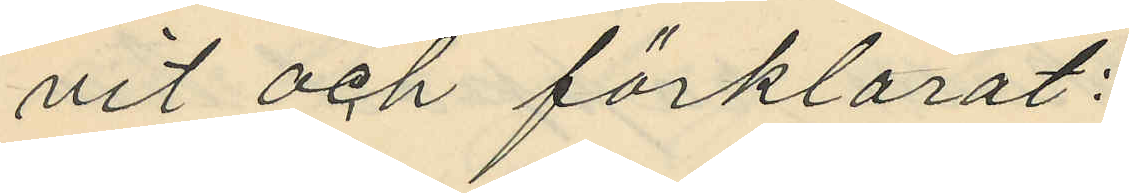vit och förklarat:
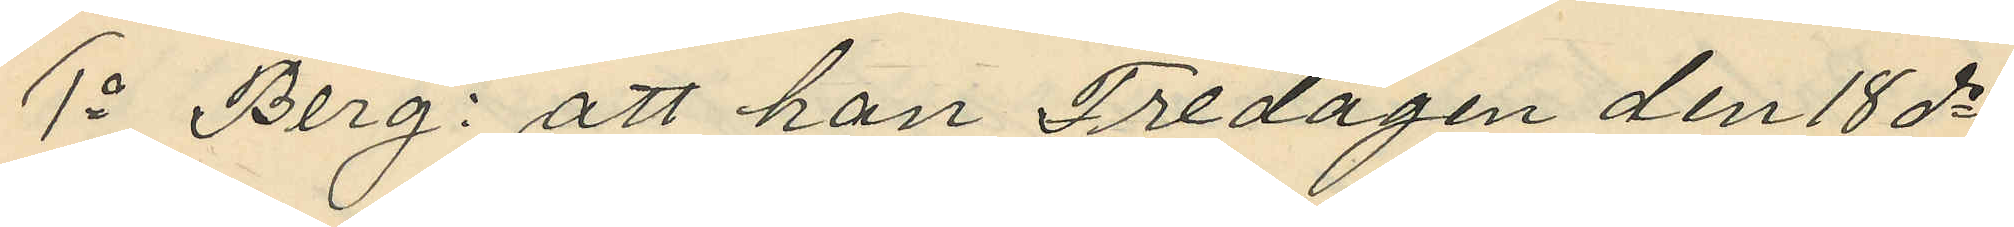1o Berg: att han Fredagen den 18 ds
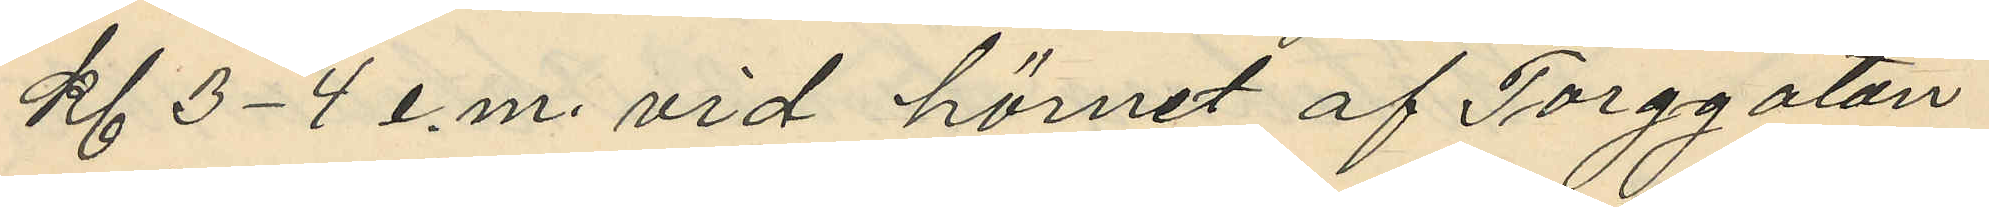kl 3-4 e.m. vid hörnet af Torggatan
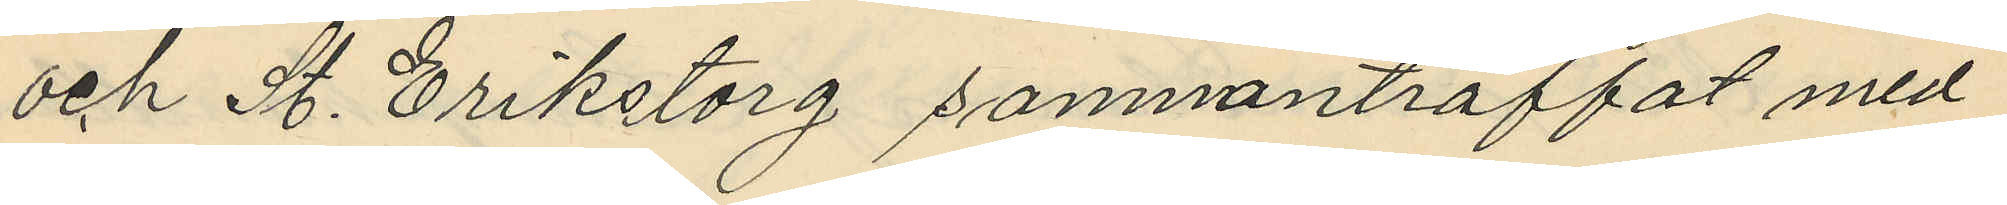och St. Erikstorg sammanträffat med
